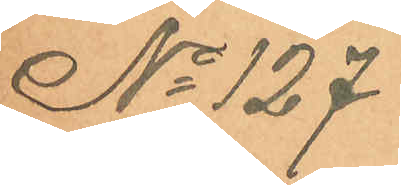No 127
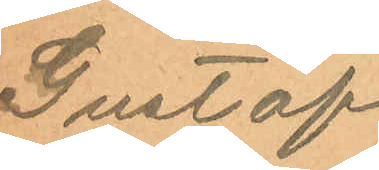Gustaf
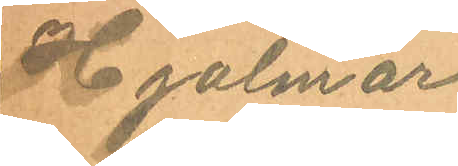Hjalmar
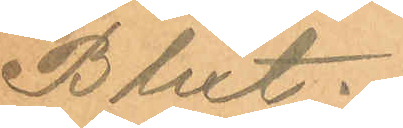Blixt.
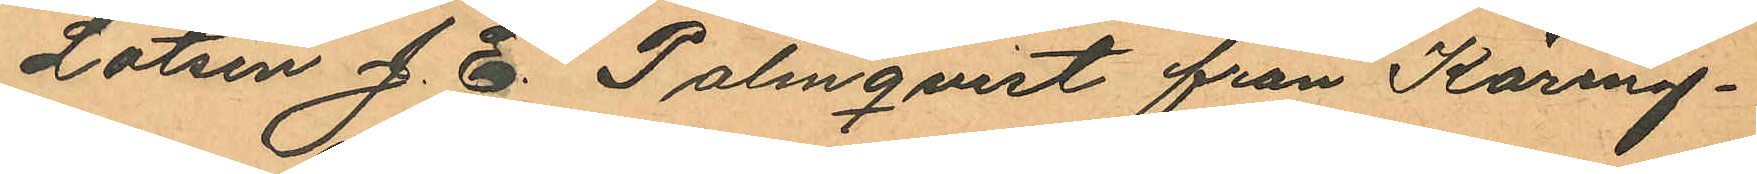Lotsen J. E. Palmqvist från Käring¬
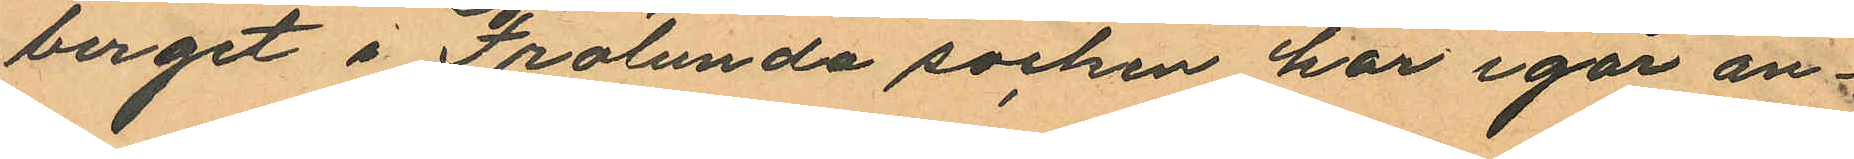berget i Frölunda socken har igår an¬
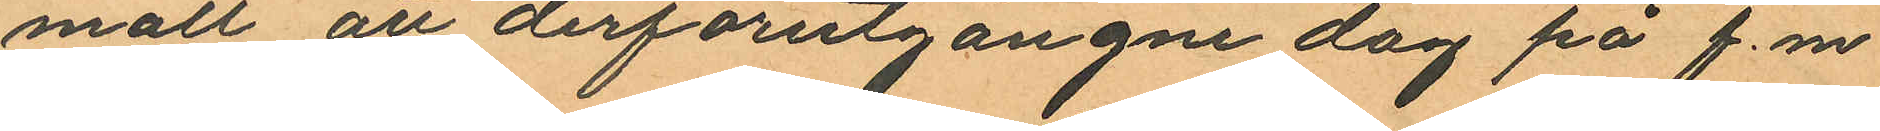mält att derförutgångne dag på f.m
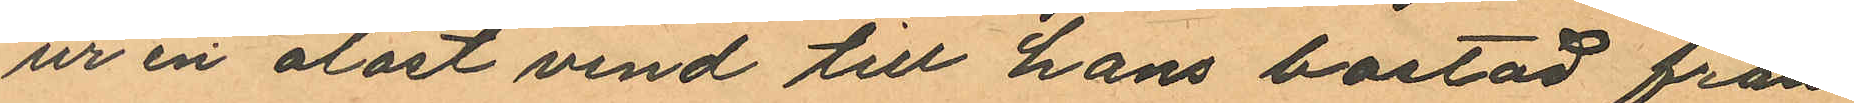ur en olåst vind till hans bostad från
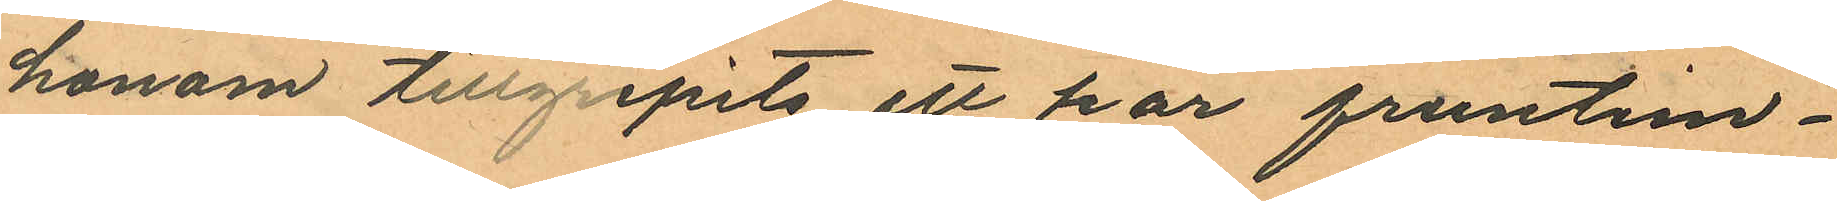honom tillgripits ett par fruntim¬
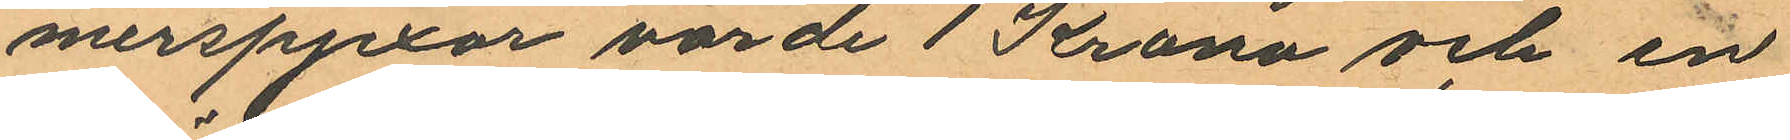merspjexor värde 1 Krona och en
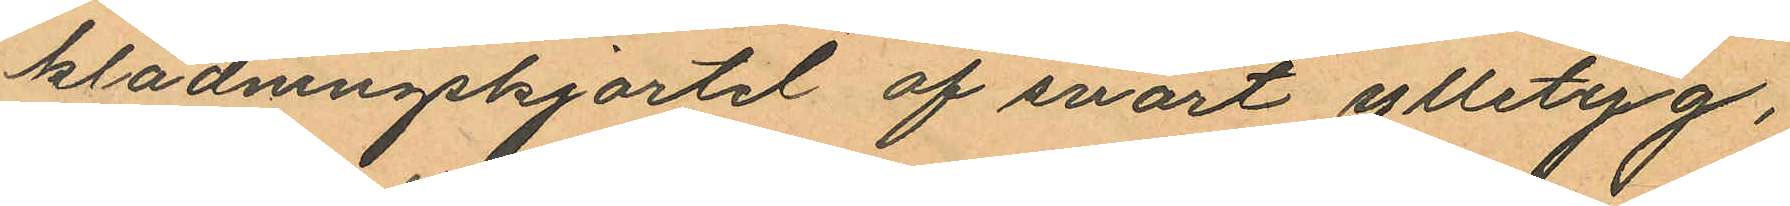klädningskjortel af svart ylletyg,
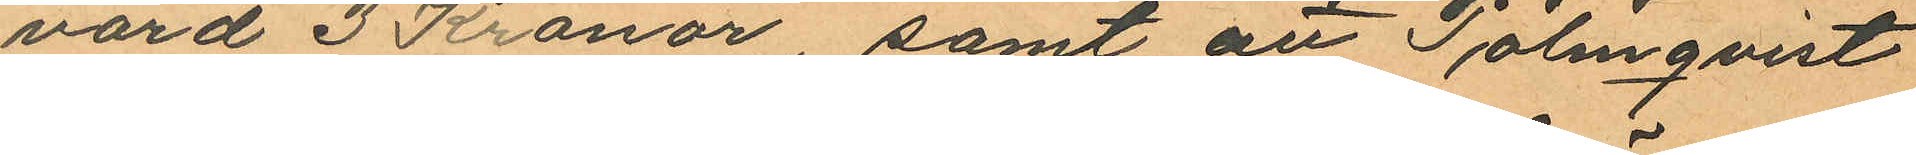värd 3 Kronor samt att Palmqvist
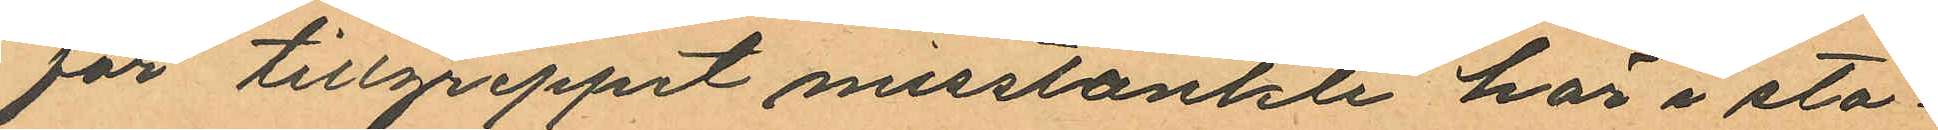för tillgreppet misstänkte här i sta¬
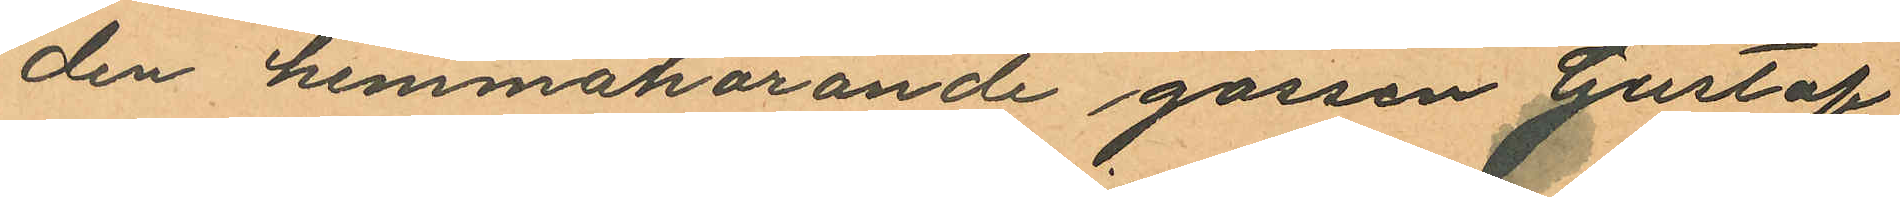den hemmahörande gossen Gustaf
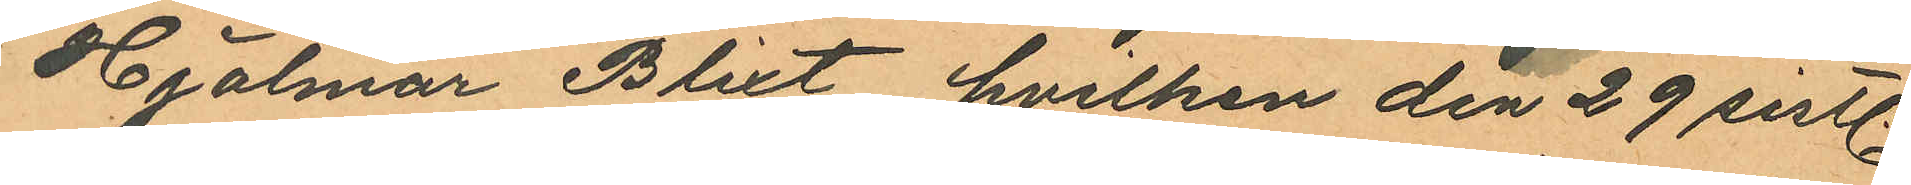Hjalmar Blixt, hvilken den 29 sistl.
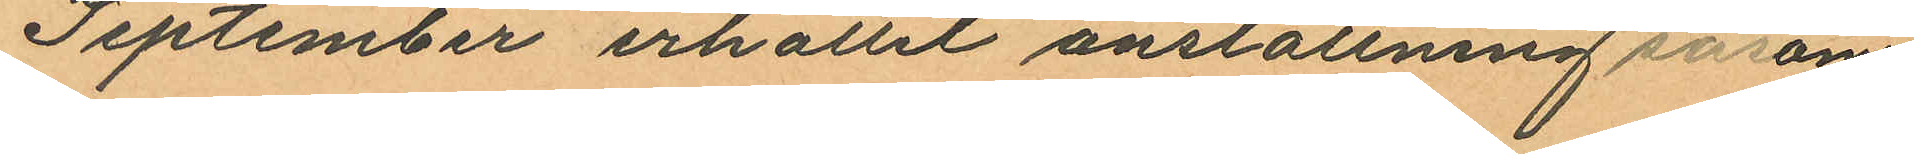September erhållit anställning såsom
